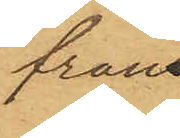från
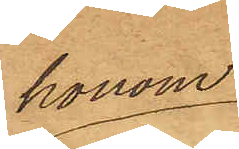honom
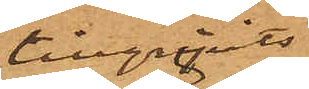tillgripits
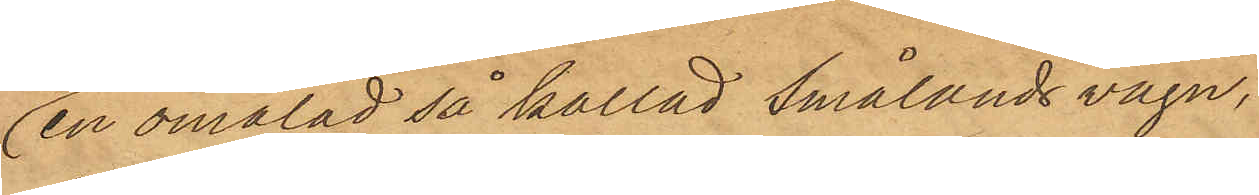en omålad så kallad Smålandsvagn,
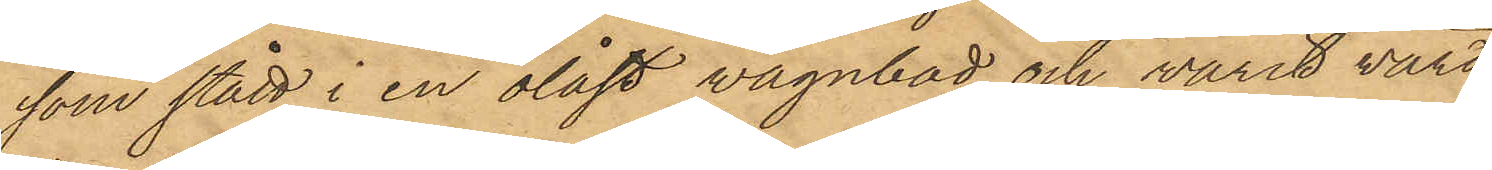som stått i en olåst vagnbod och varit värd
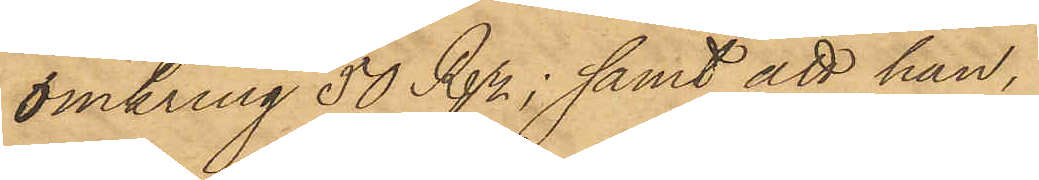omkring 50 Rdr; samt att han,
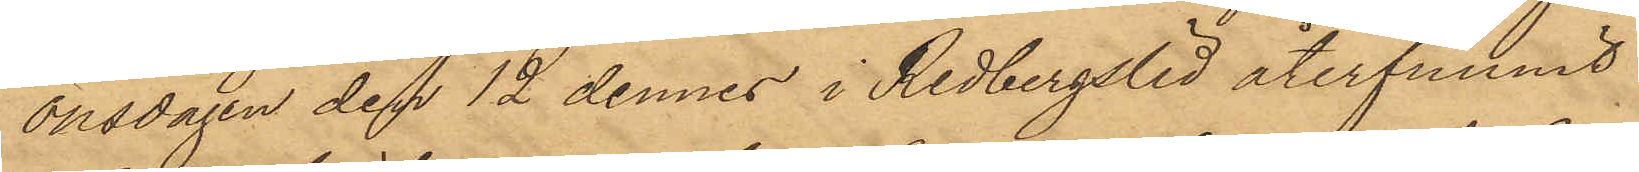onsdagen den 12 dennes i Redbergslid återfunnit
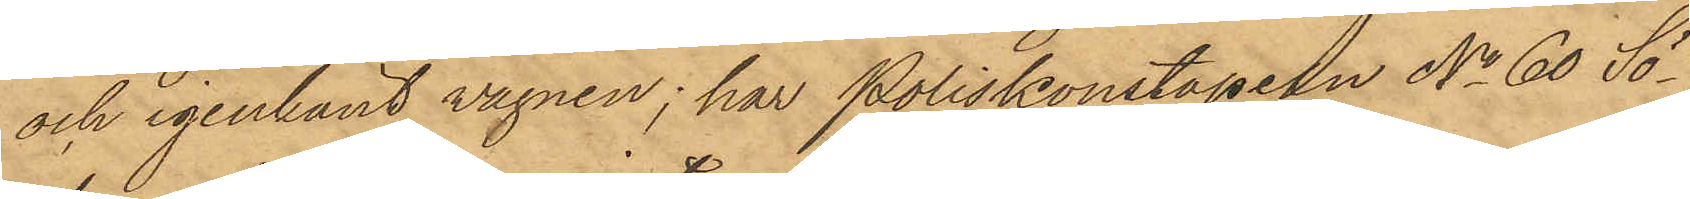och igenkänt vagnen; har Poliskonstapeln No 60 Sö¬
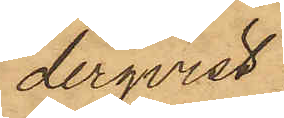derqvist
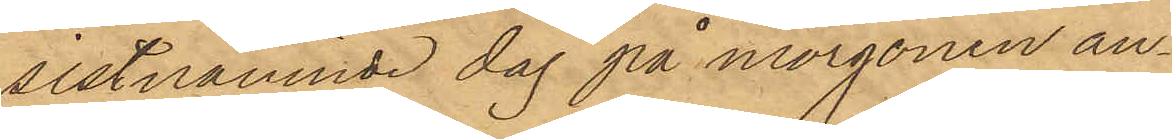sistnämnde dag på morgonen an¬
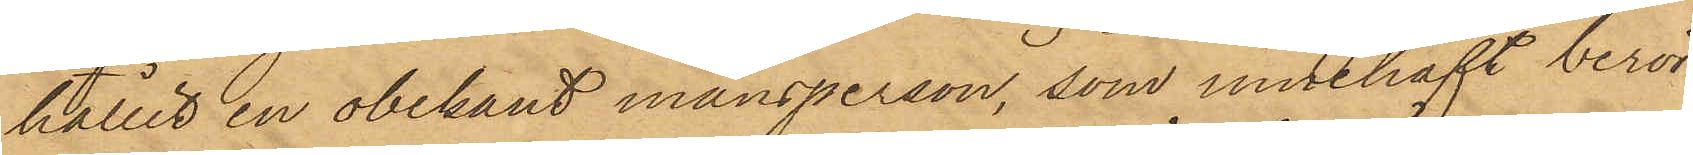hållit en obekant mansperson, som innehaft berör¬
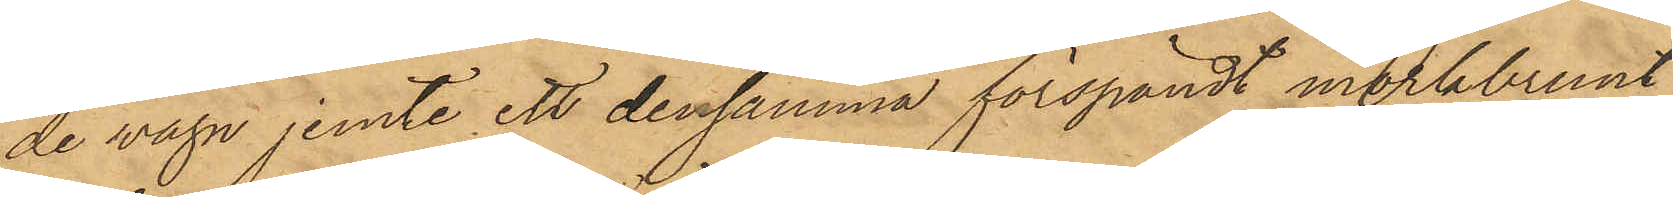de vagn jemte ett densamma förspändt mörkbrunt
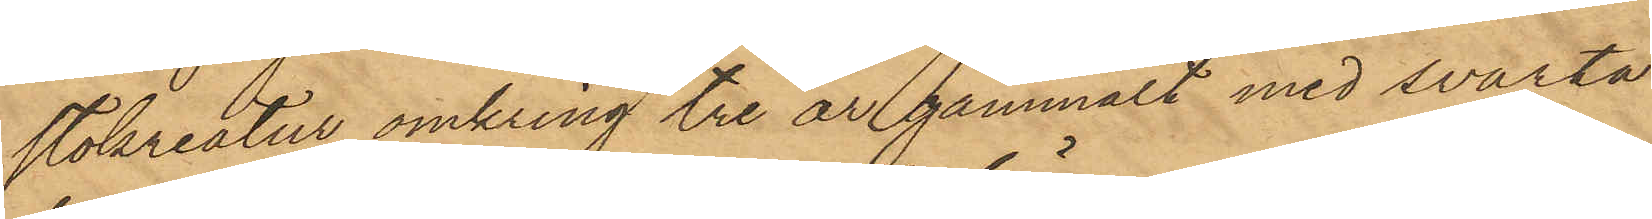stokreatur omkring tre år gammalt med svarta
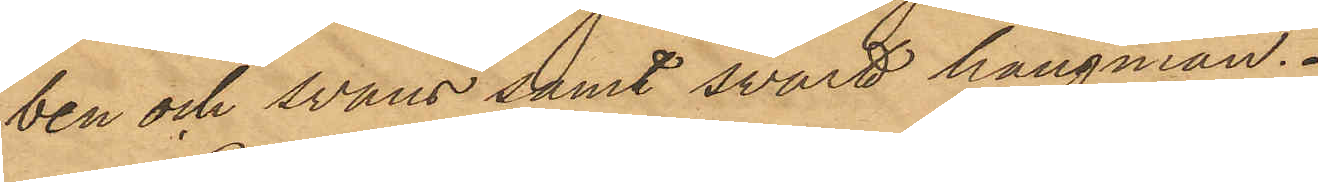ben och svans samt svart hängman.
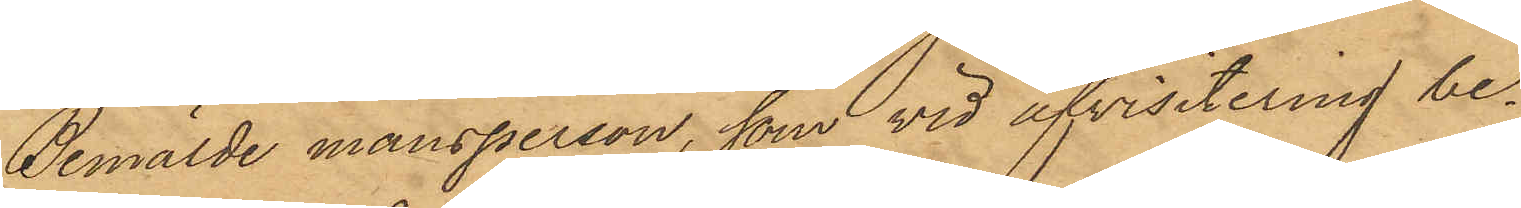Bemälde mansperson, som vid afvisitering be¬
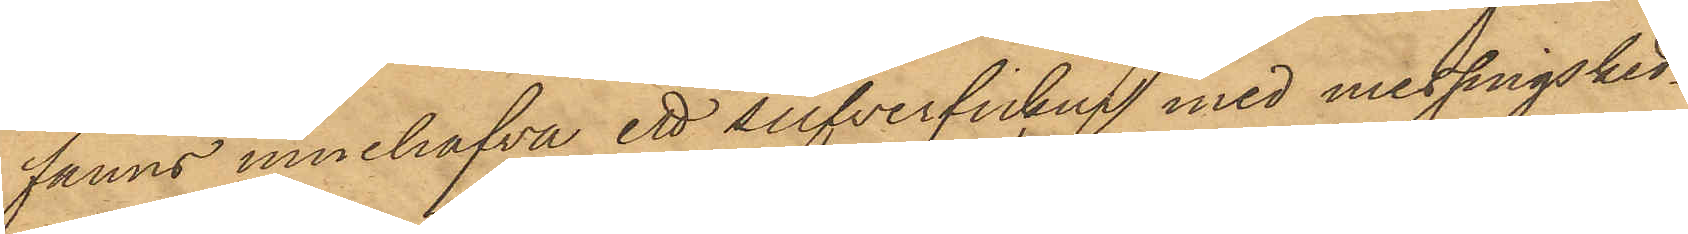fanns innehafva ett silfverfickur med messingsked¬
